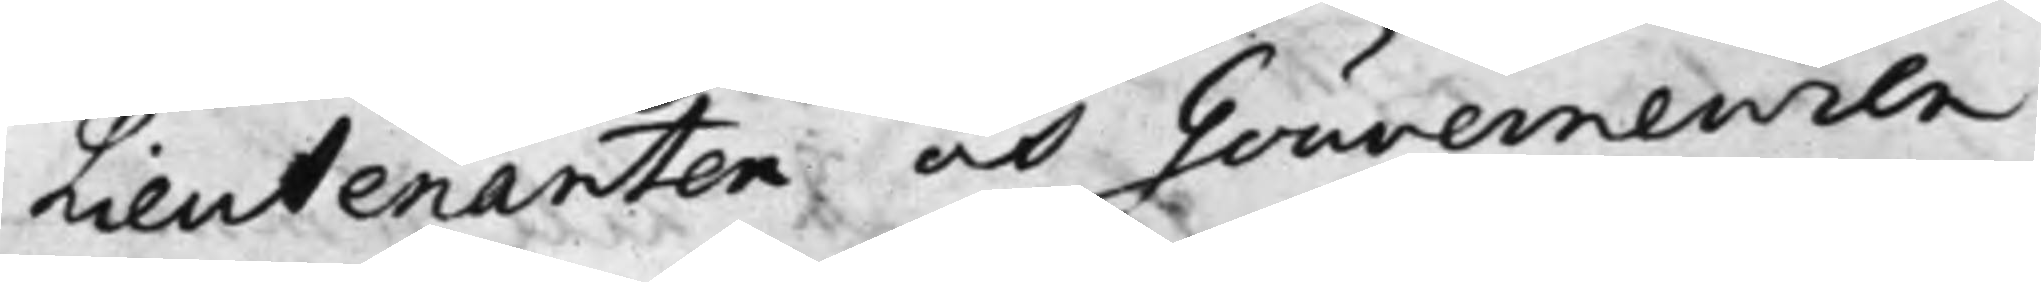Lieutenanten och Gouverneuren
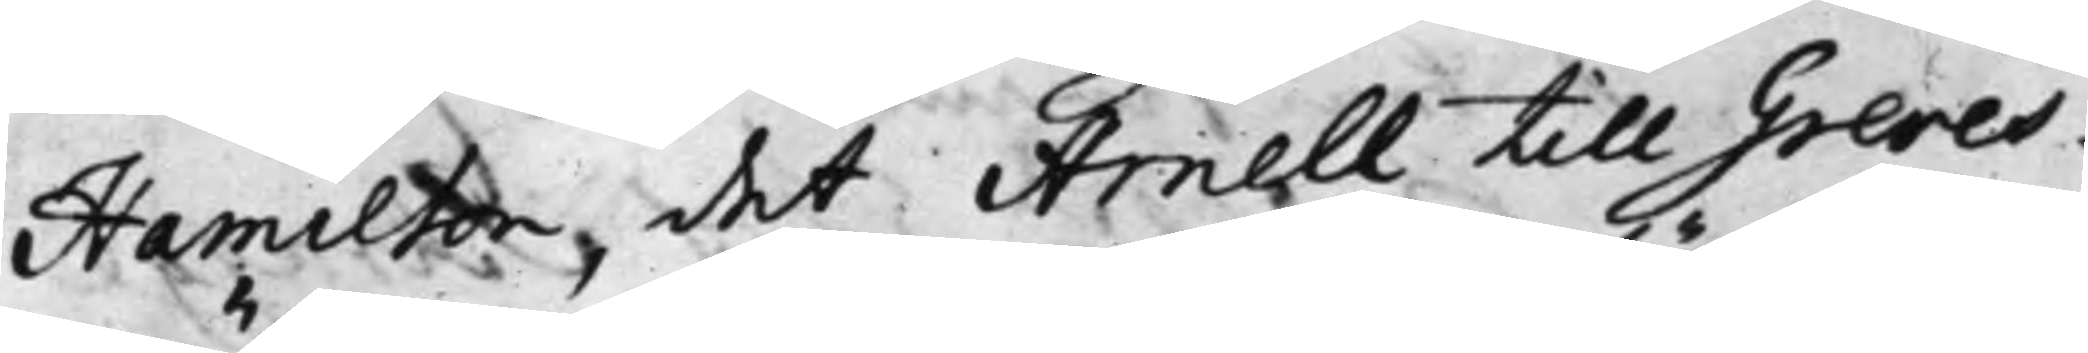Hamilton, det Arnell till Greves¬
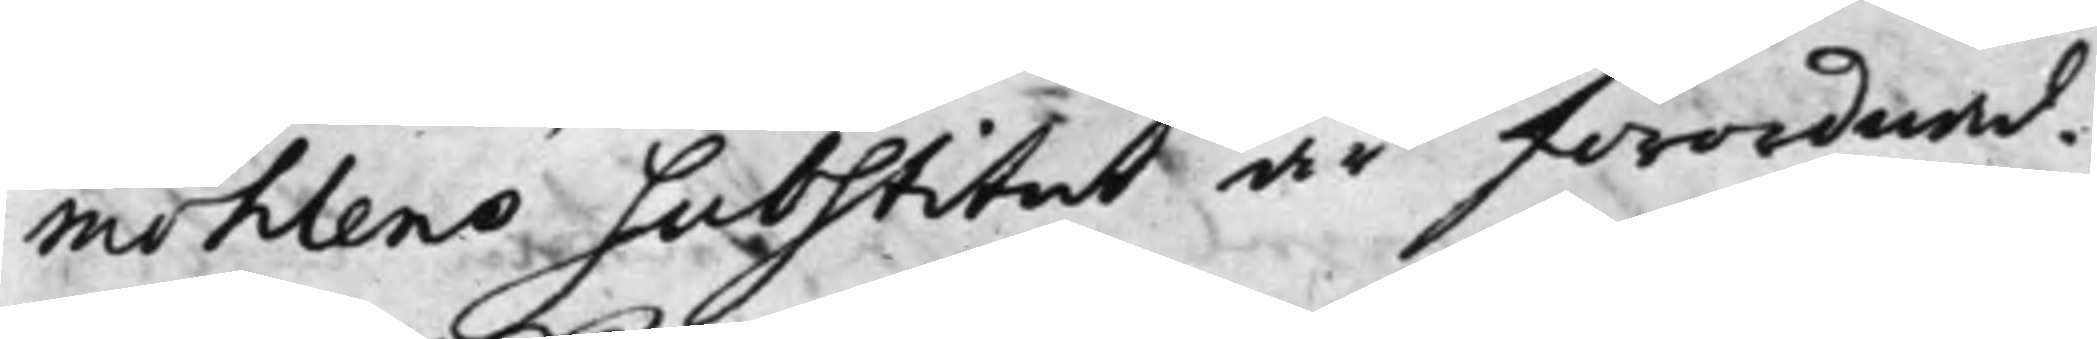möhlens Substitut är förordnad.
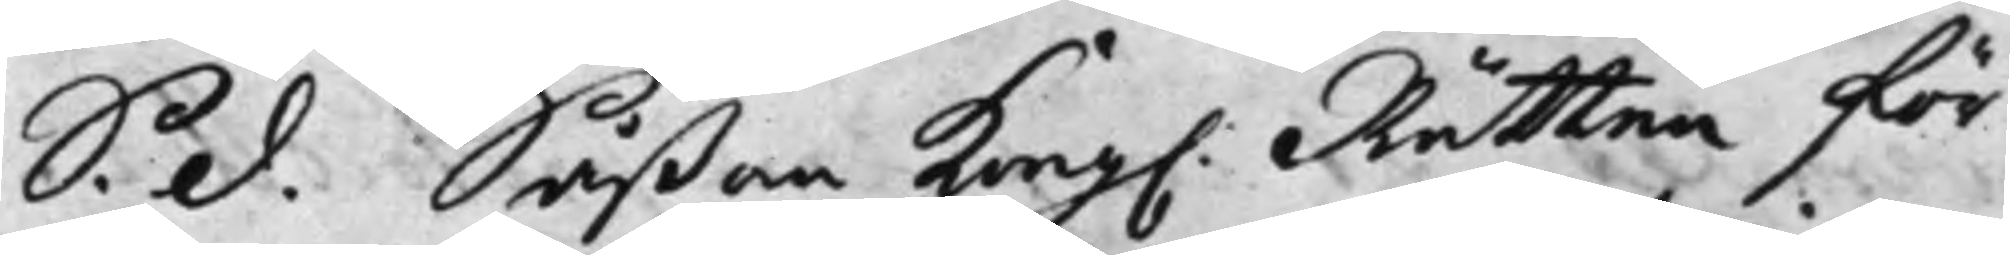S. d. Såßom Kong. Rätten för¬
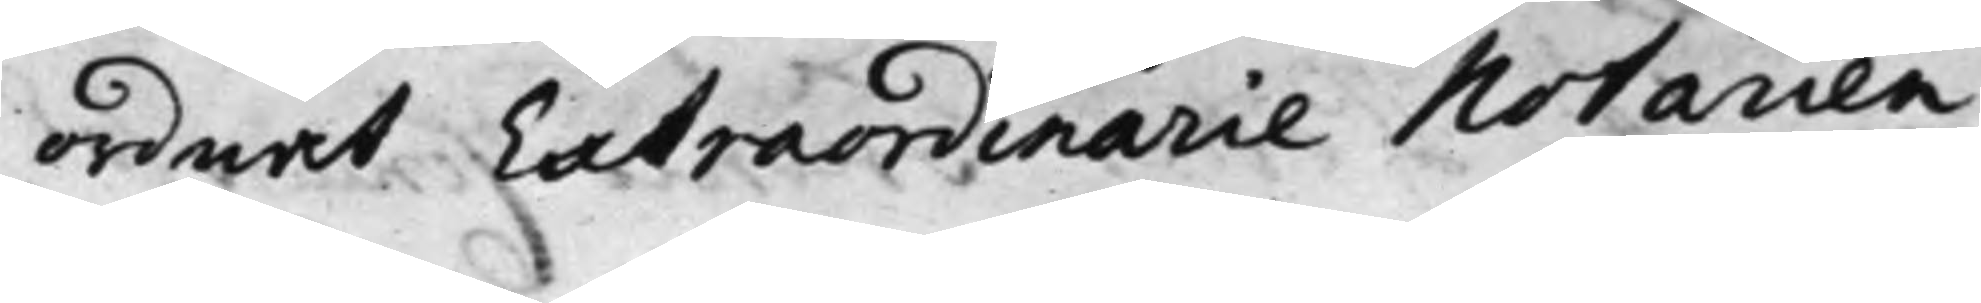ordnat Extraordinarie Notarien
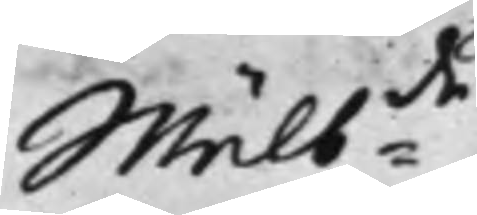Wälb:de
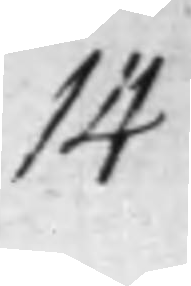14
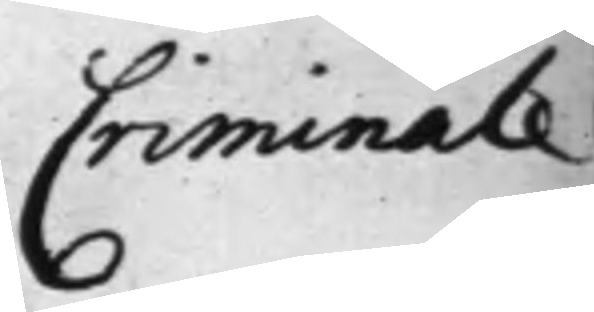Criminale
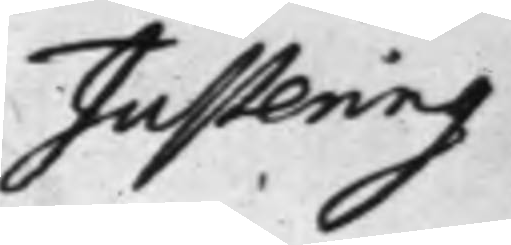Justering
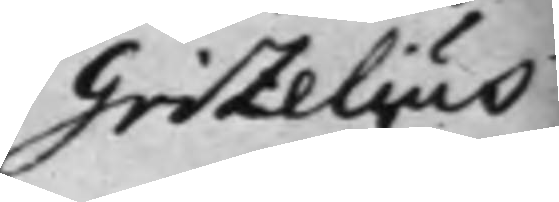Grizelius
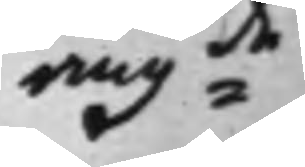ang:de
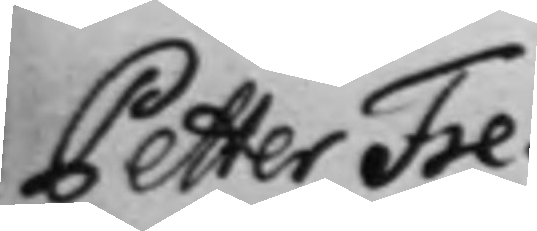Petter Fre¬
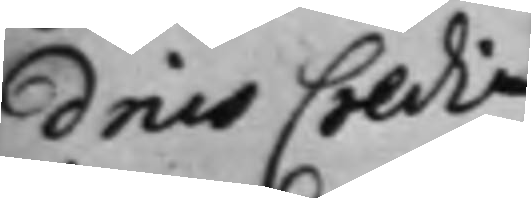drics Credi¬
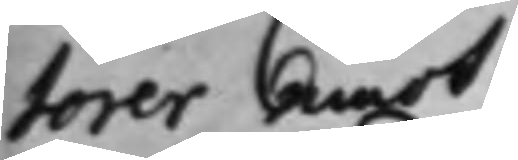torer emot
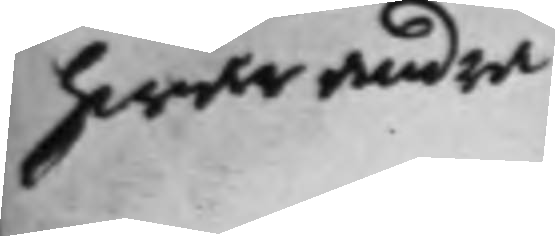hwar andra
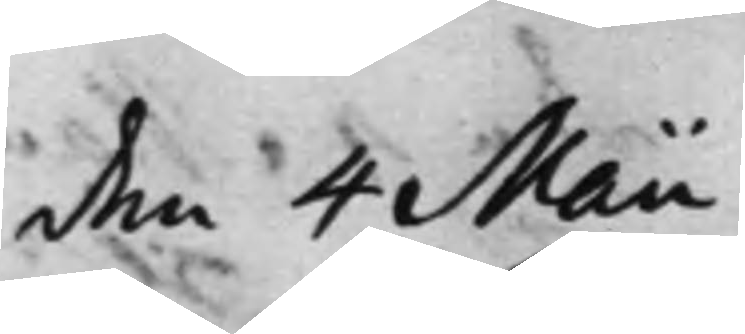den 4 Maii
